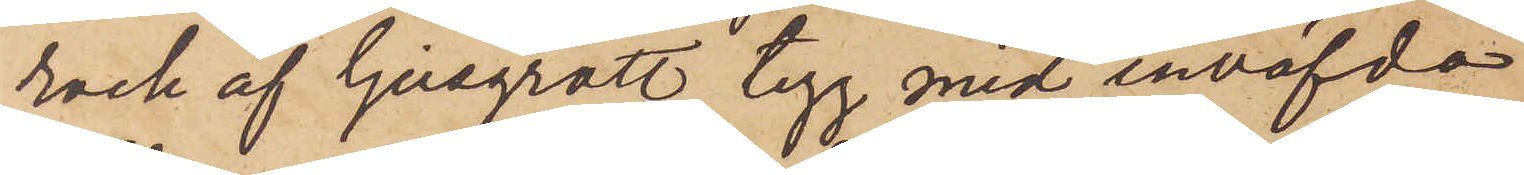rock af ljusgrått tyg med inväfda
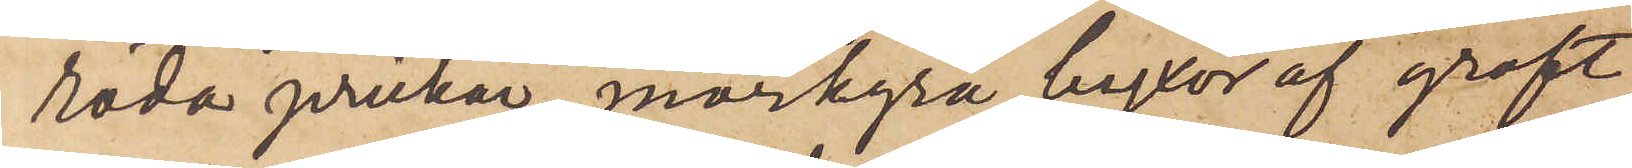röda prickar, mörkgrå byxor af groft
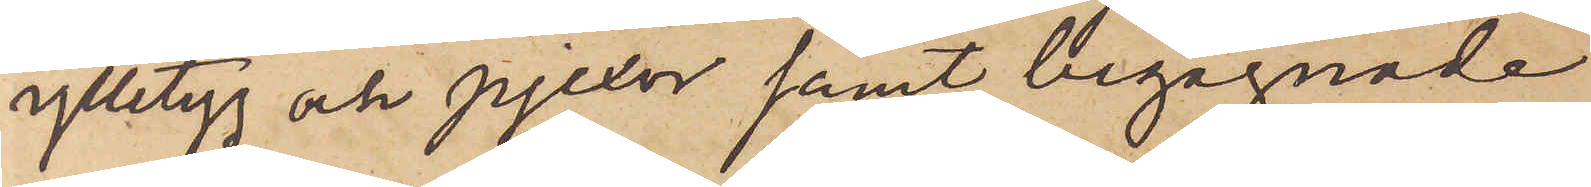ylletyg och pjexor samt begagnade
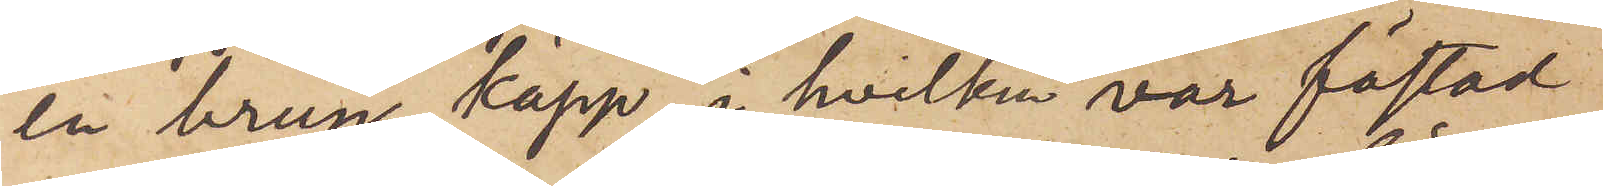en brun käpp, i hvilken var fästad
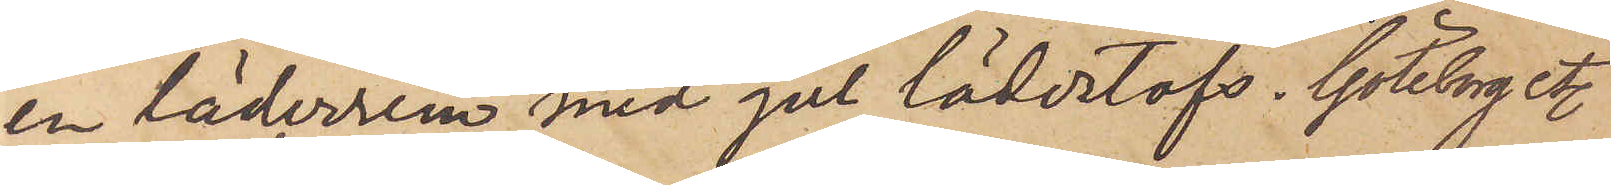en läderrem med gul lädertofs. Göteborg etc
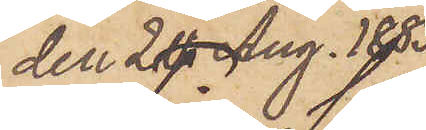den 20 Aug. 1883.
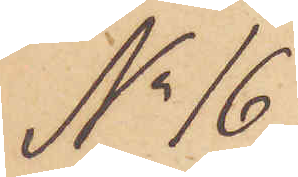No 16.
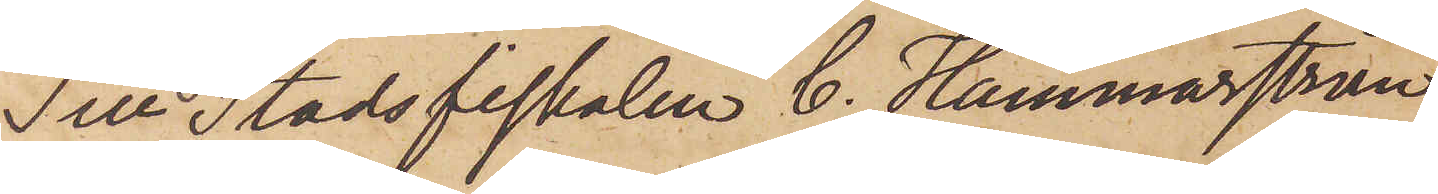Till Stadsfiskalen C. Hammarström.
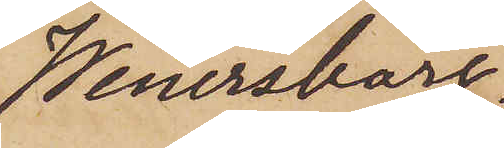Wenersborg.
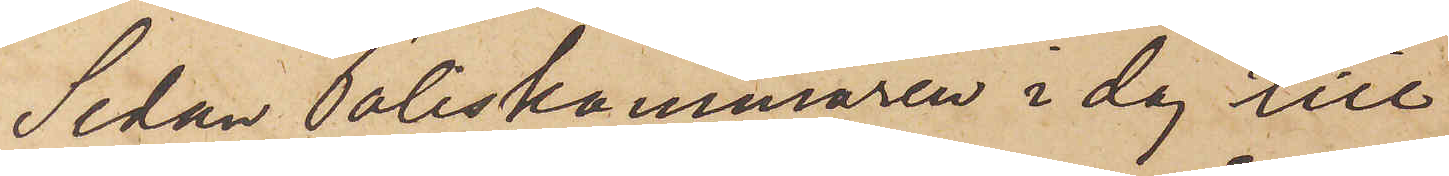Sedan Poliskammaren i dag till
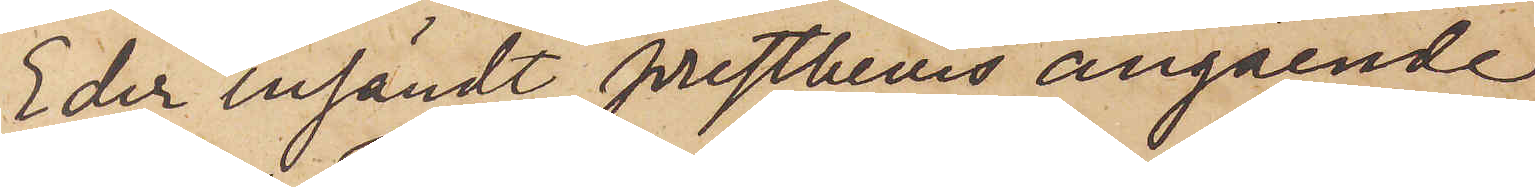Eder insändt prestbevis angående
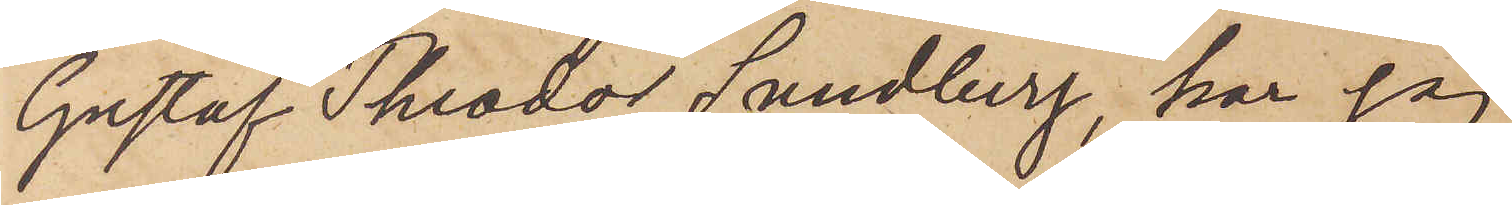Gustaf Theodor Sundberg, har jag
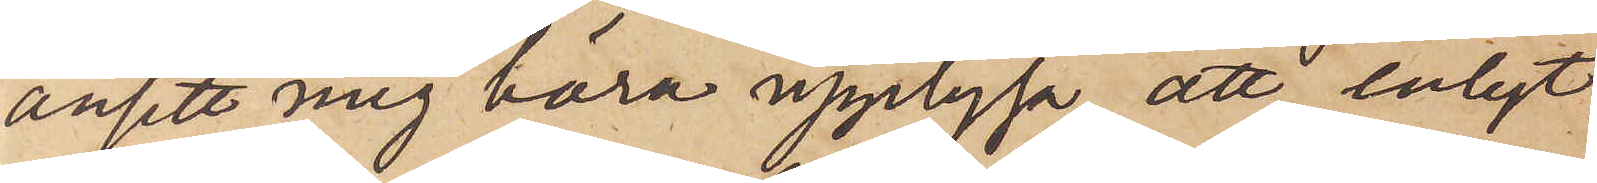ansett mig böra upplysa, att enligt
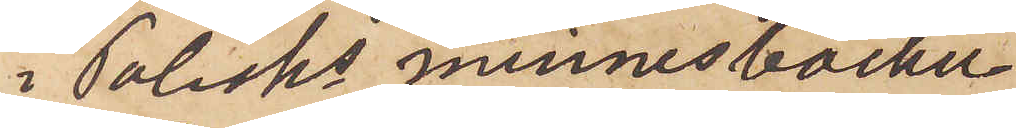i Polisks minnesböcker
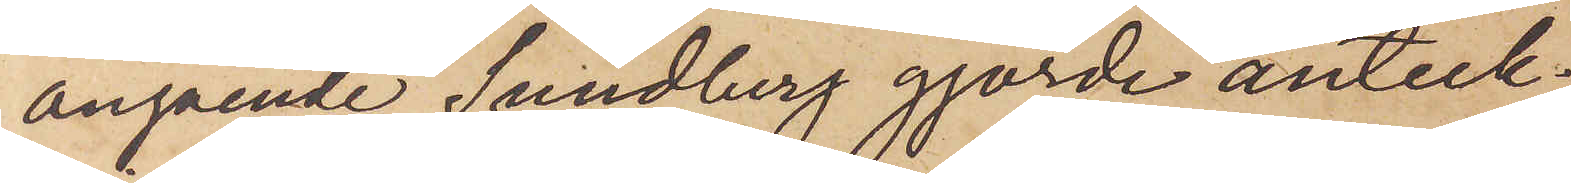angående Sundberg gjorde anteck¬
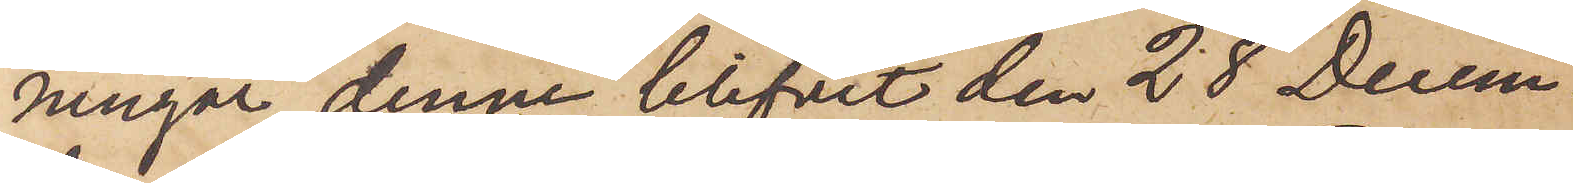ningar, denne blifvit den 28 Decem¬
